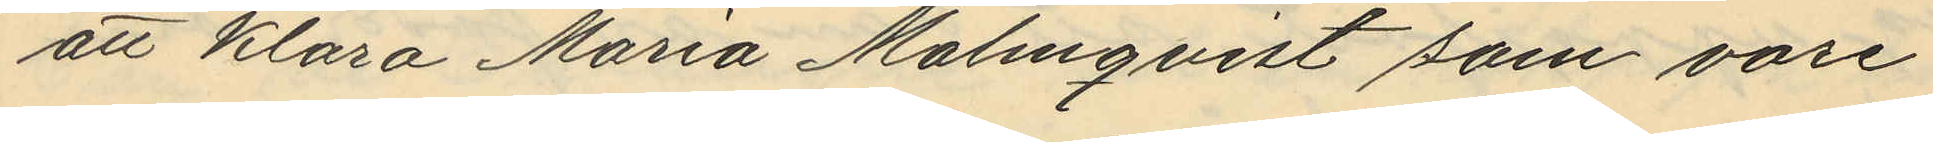att Klara Maria Malmqvist som vore
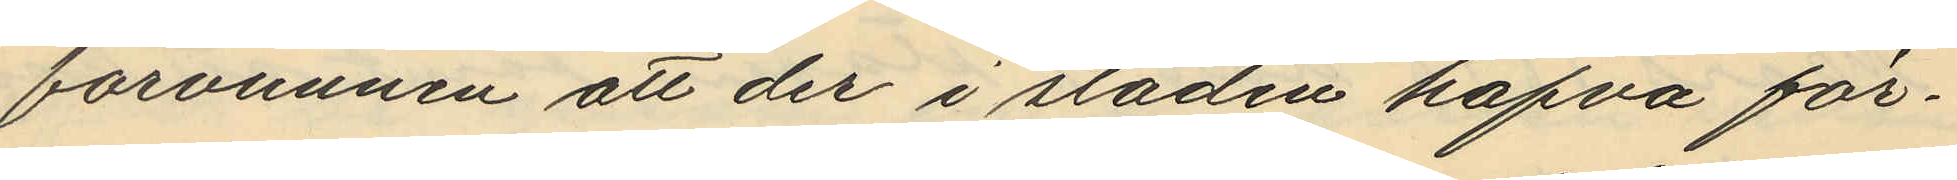förvunnen att der i staden hafva för¬
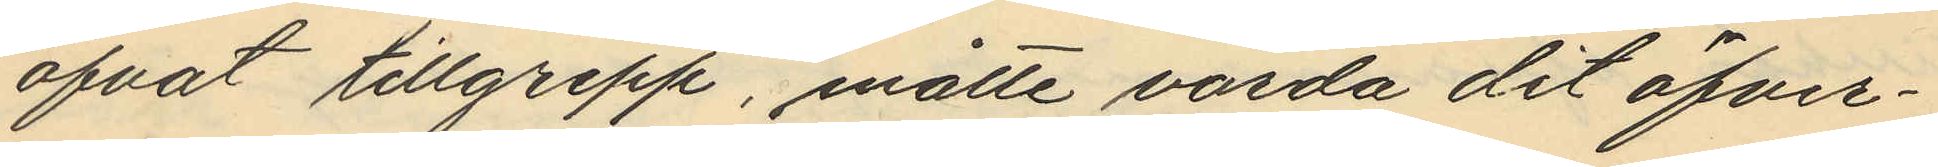öfvat tillgrepp, måtte varda dit öfver¬
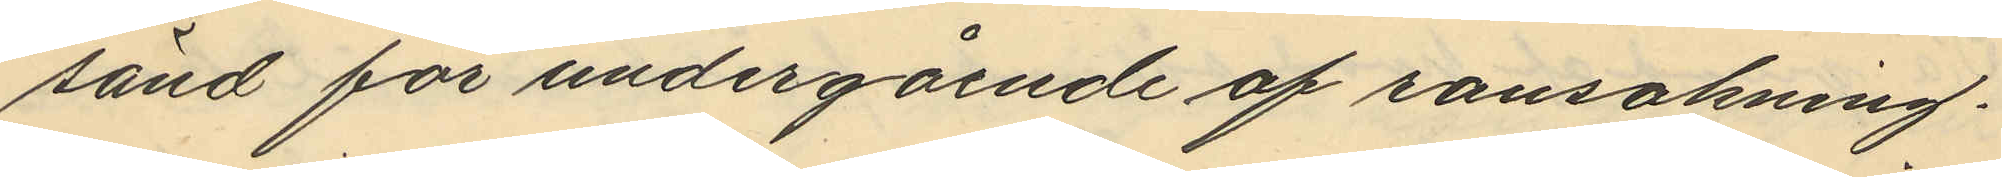sänd för undergående af ransakning.
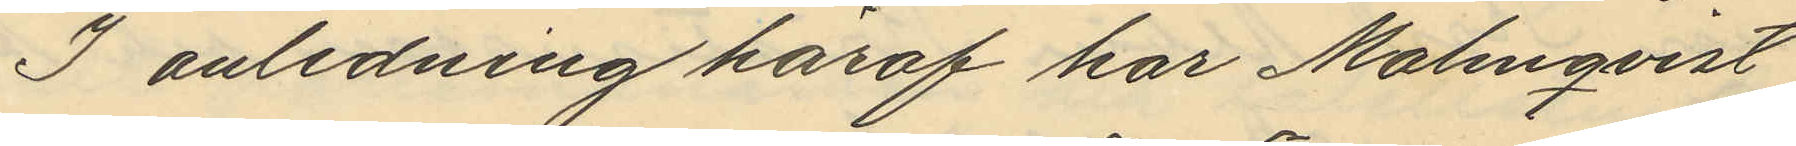I anledning häraf har Malmqvist
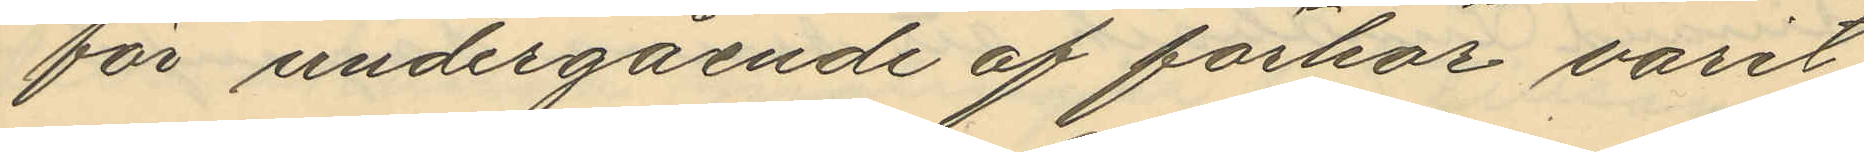för undergående af förhör varit
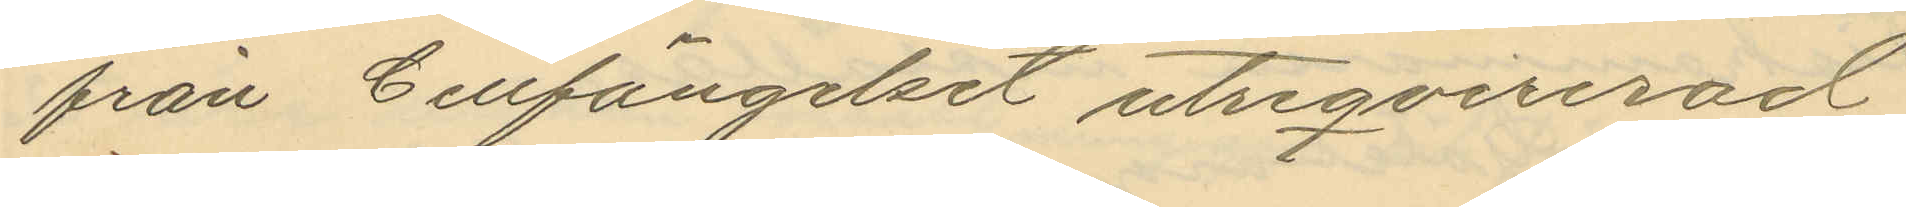från Cellfängelset utreqvirerad
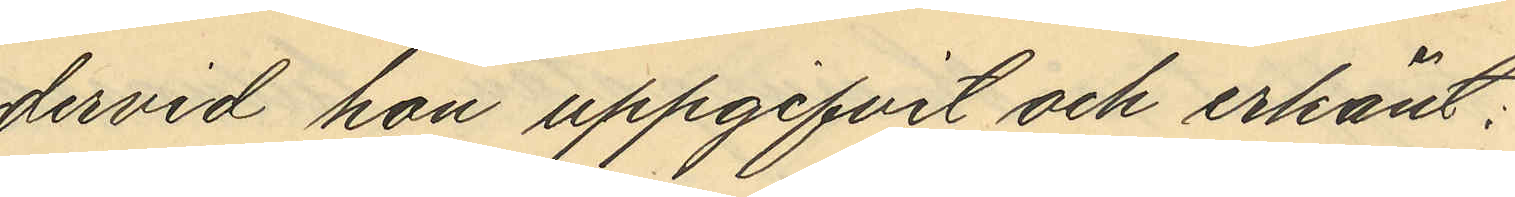dervid hon uppgifvit och erkänt:
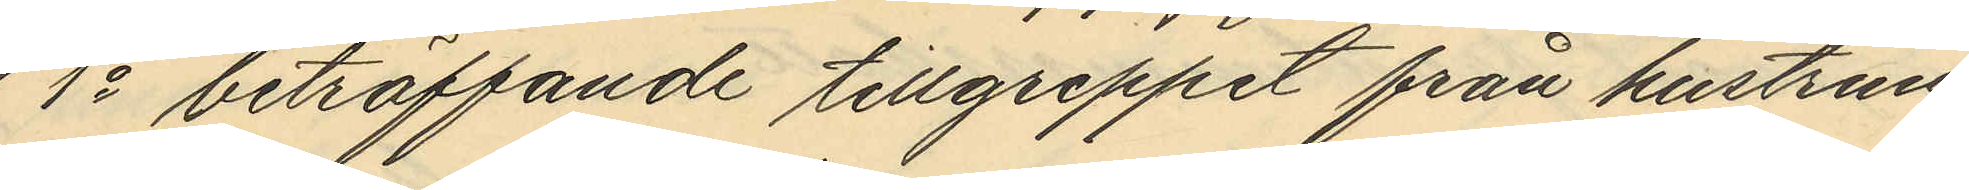1o beträffande tillgreppet från hustrun
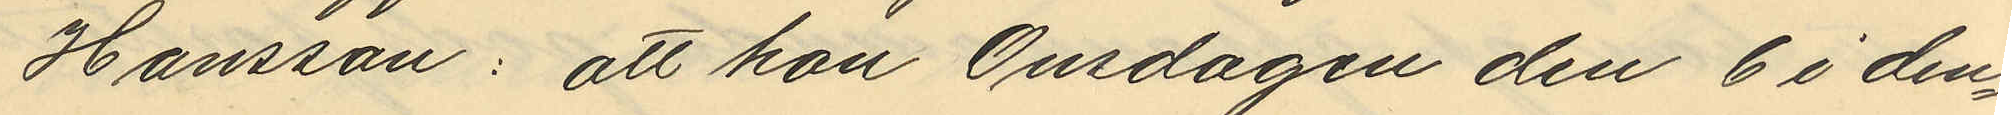Hansson: att hon Onsdagen den 6 i den¬
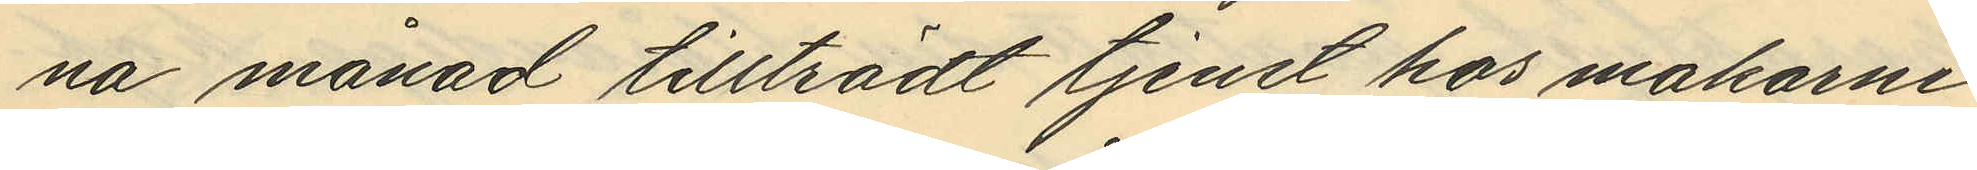na månad tillträdt tjenst hos makarne
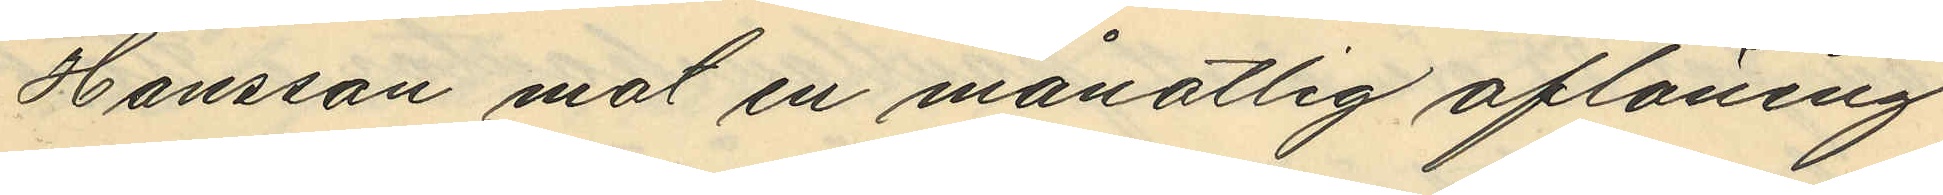Hansson mot en månatlig aflöning
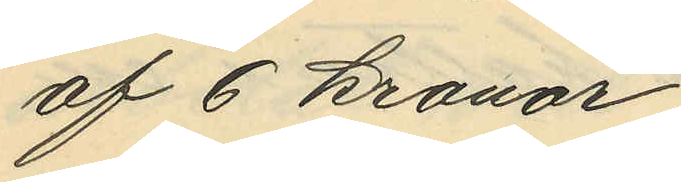af 6 kronor;
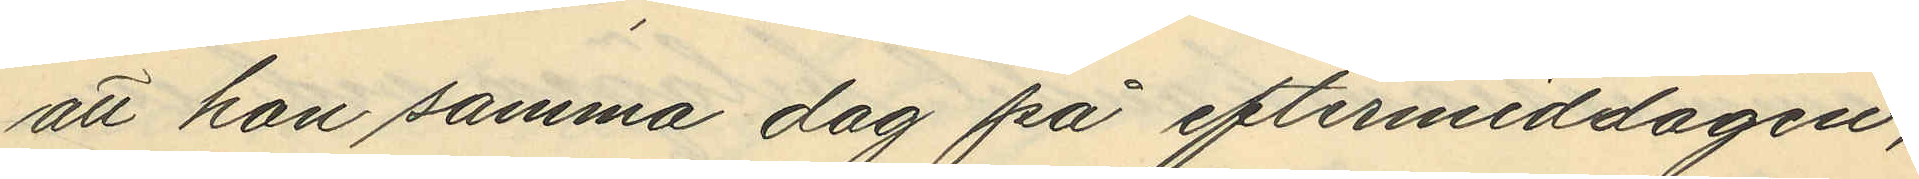att hon samma dag på eftermiddagen,
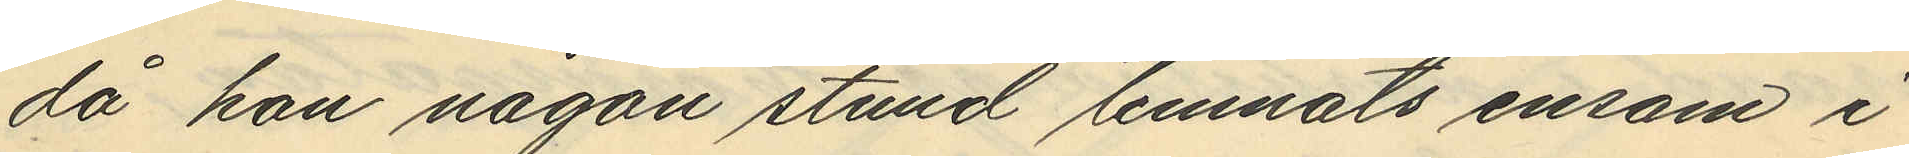då hon någon stund lemnats ensam i
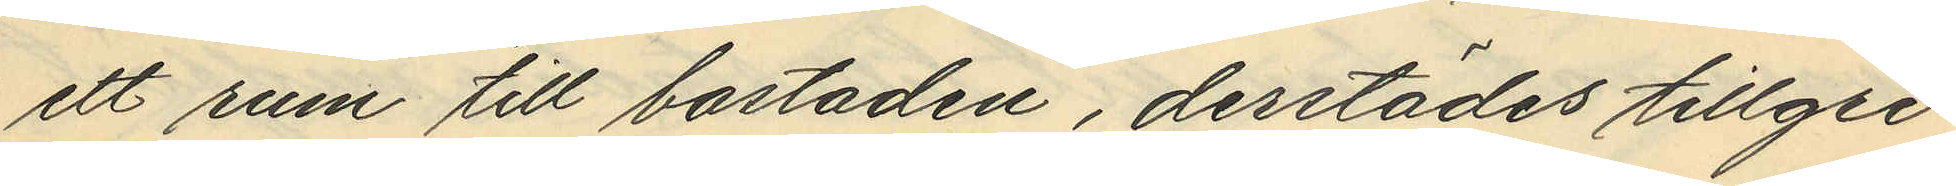ett rum till bostaden, derstädes tillgri¬
